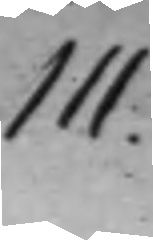111.
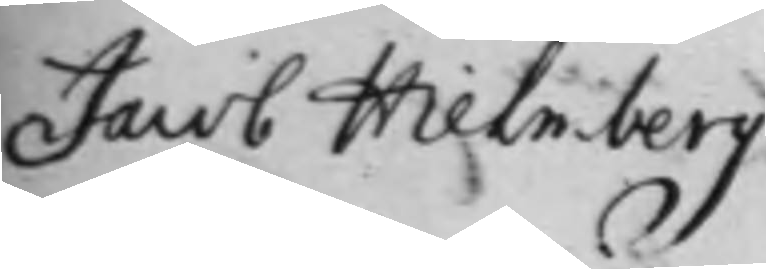Jacob Hielmberg
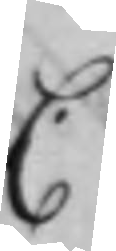C.
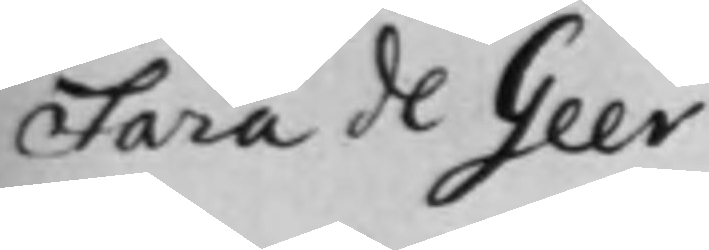Sara de Geer
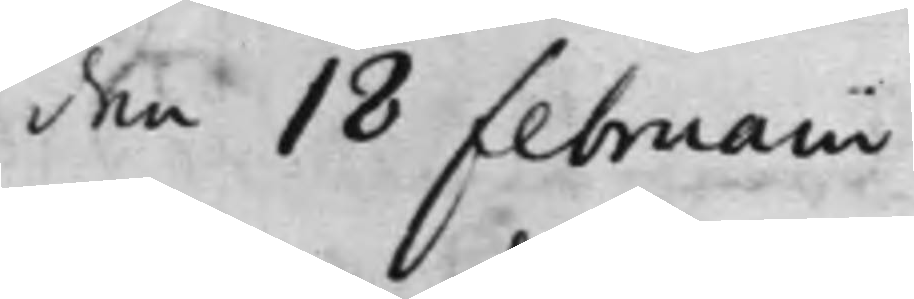den 18 Februarii
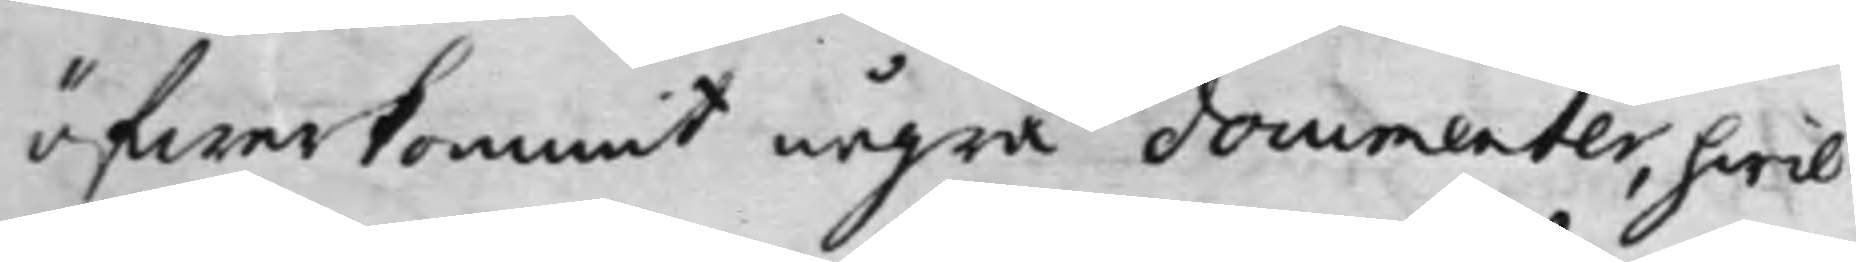öfwerkommit några documenter, hwil¬
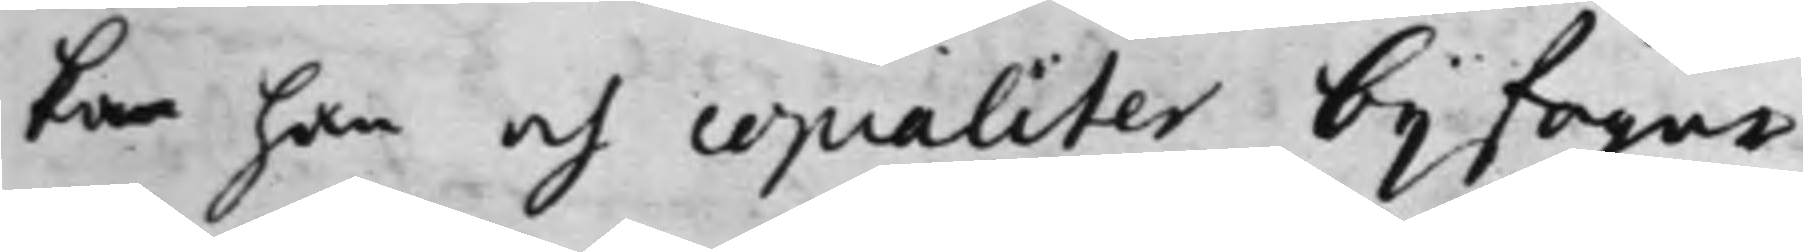ka han och copialiter bijfogar,
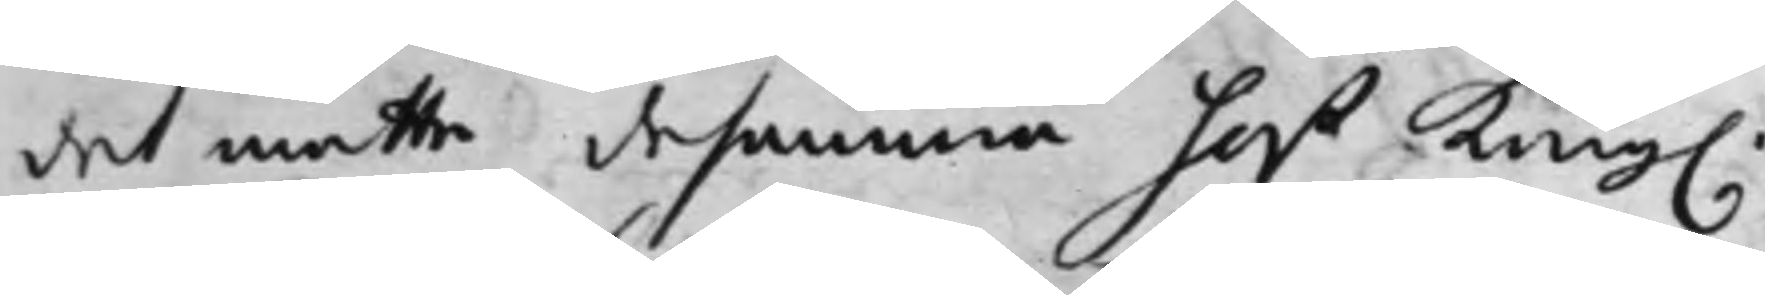det måtte desamma hoß Kong.
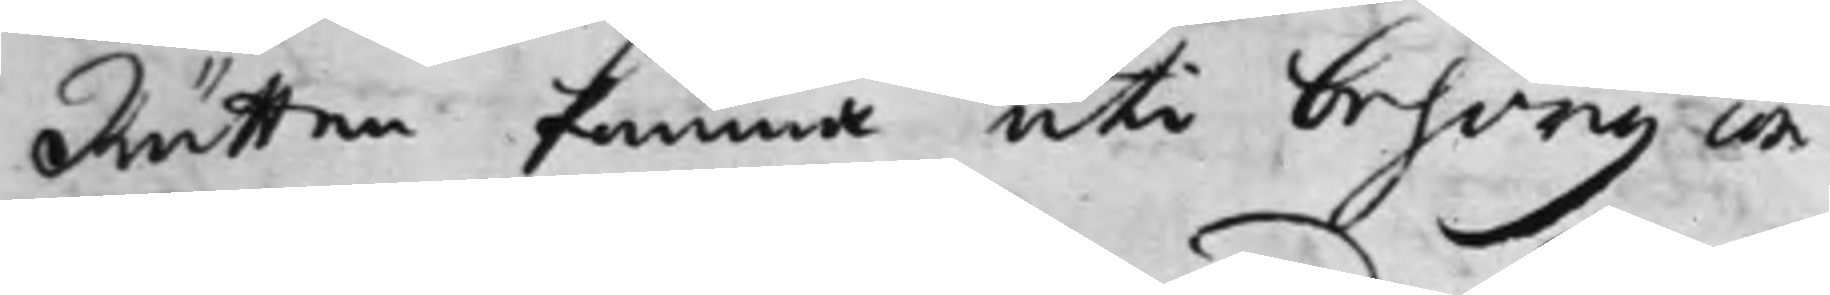Rätten komma uti behörig con¬
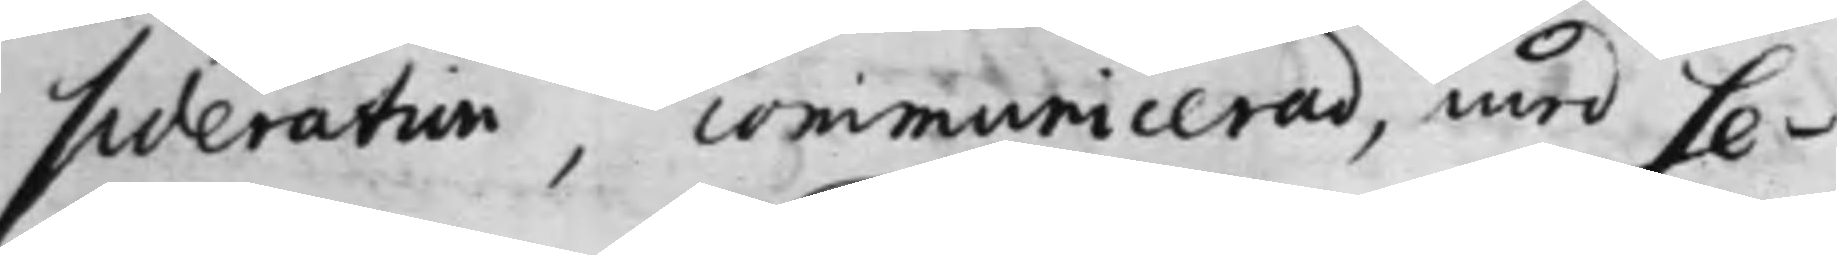sideration, communicerad, med Se¬
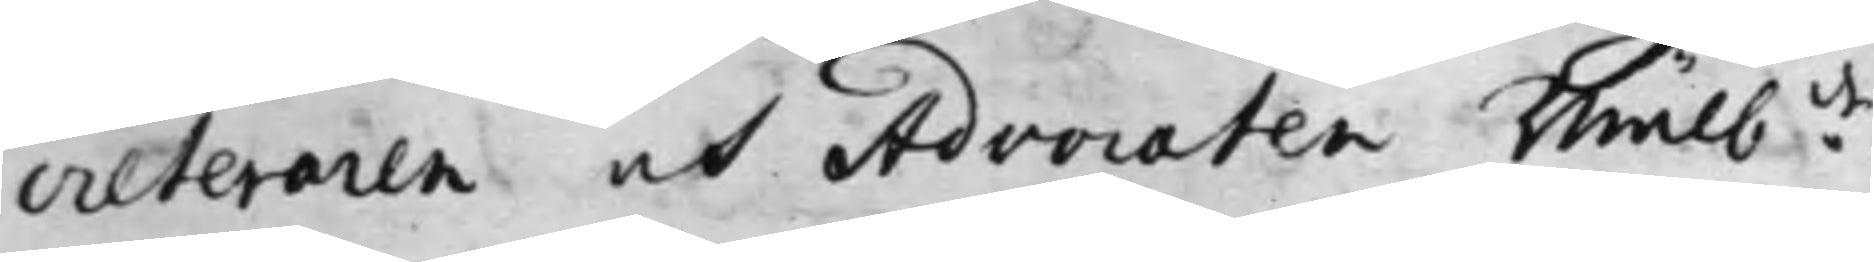creteraren och Advocaten Wälb:de
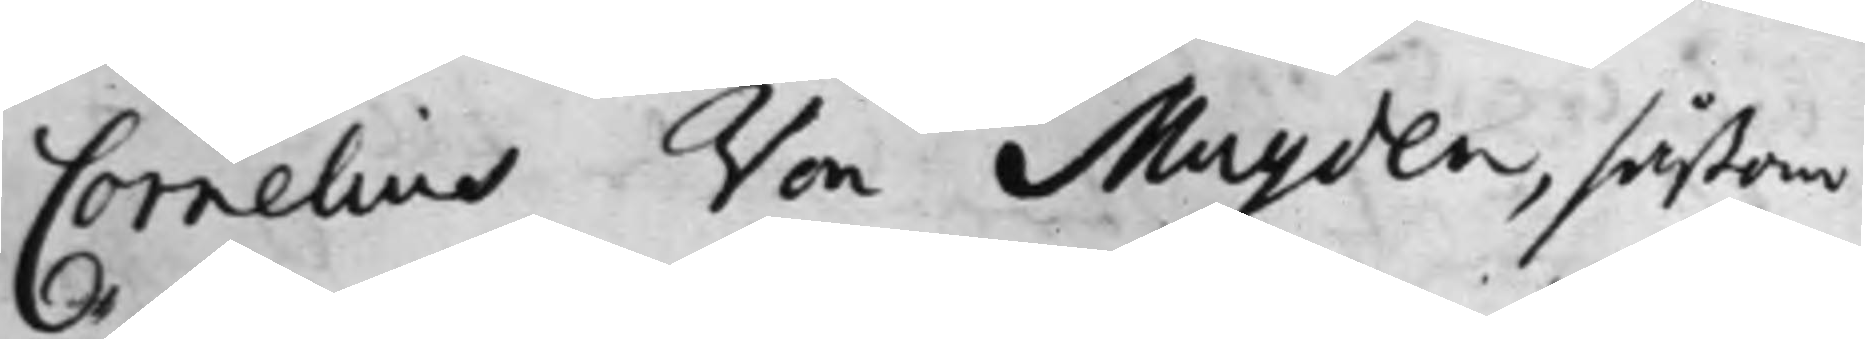Cornelius Von Muyden, såßom
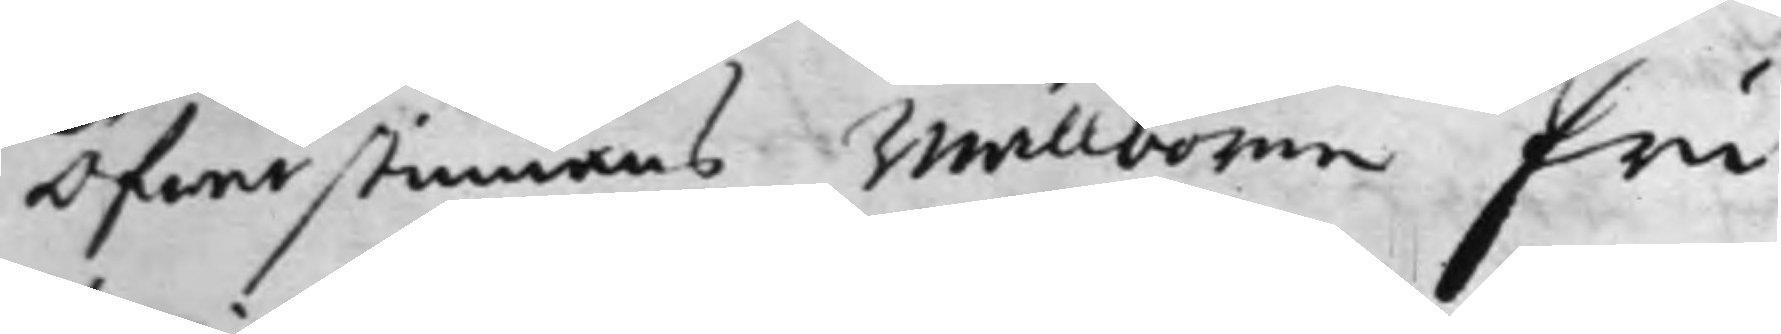Öfwerstinnans Wällborne Fru
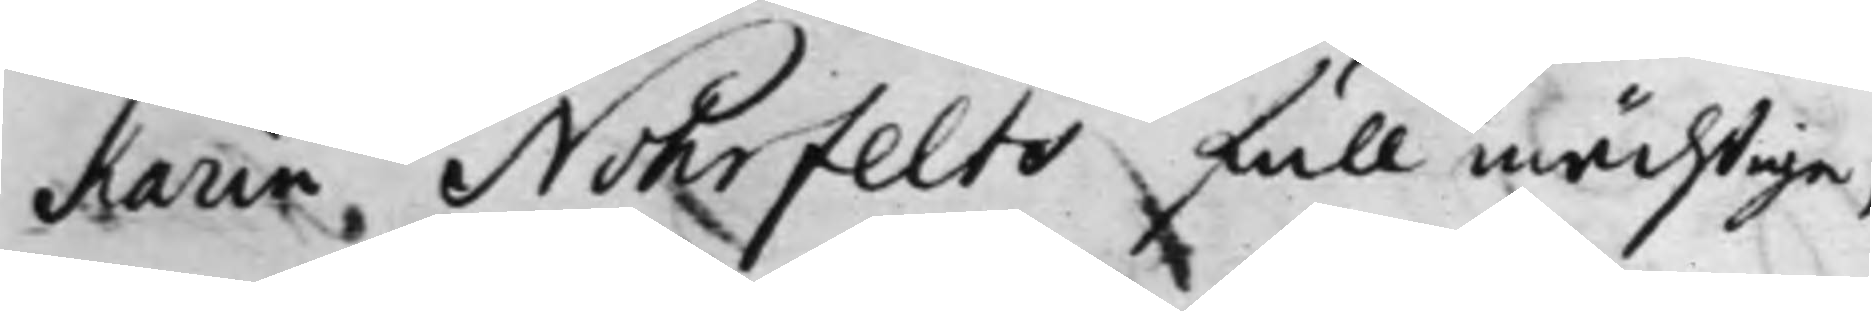Karin Nohrfelts fullmächtige,
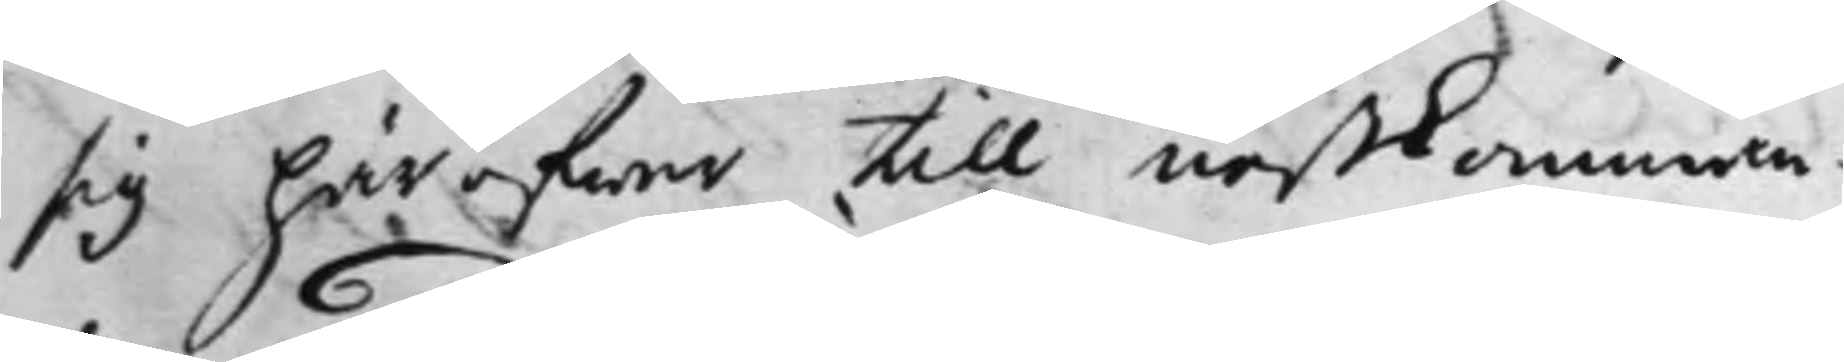sig häröfwer till nästkomman¬
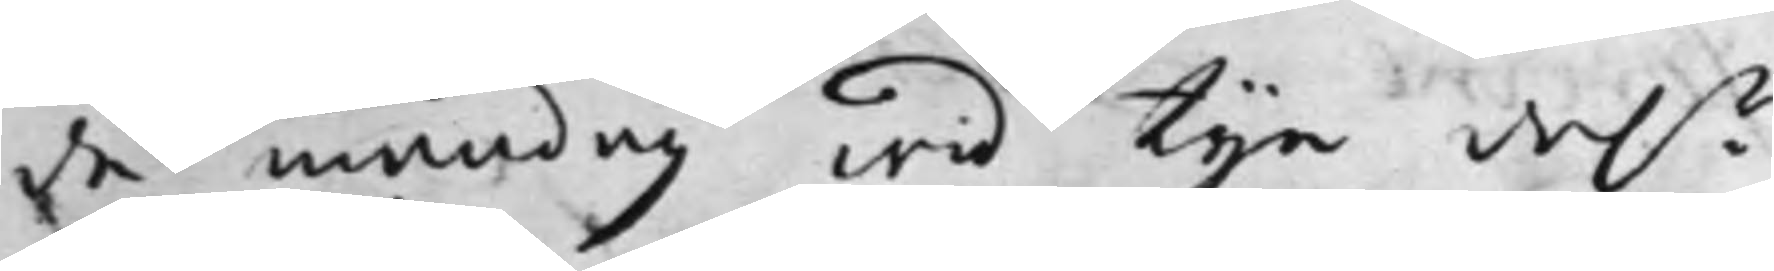de måndag wid tije dal.r
